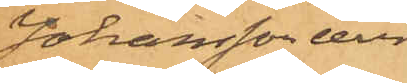Johansson eller
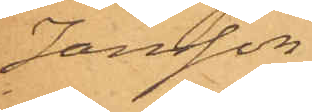Jansson.
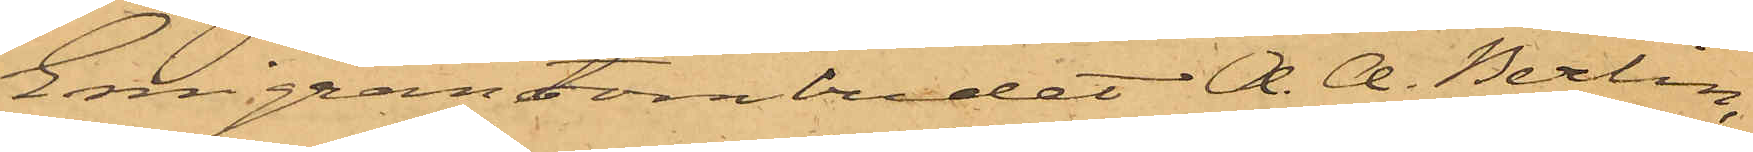Emigrantombudet A. A. Berlin,
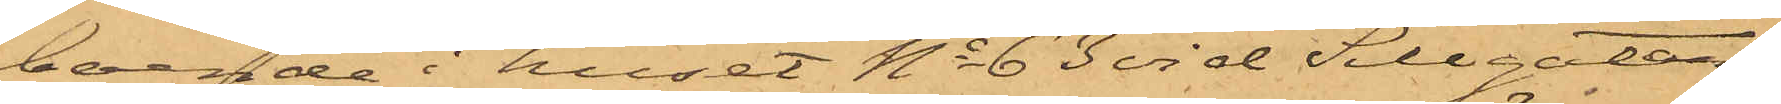boende i huset No 63 vid Sillgatan,
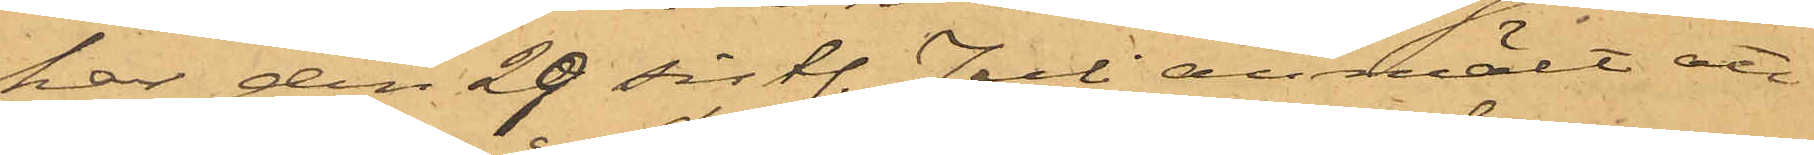har den 29 sistl. Juli anmält att
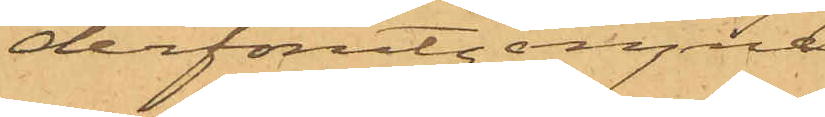derförutgångne
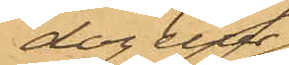dag eller
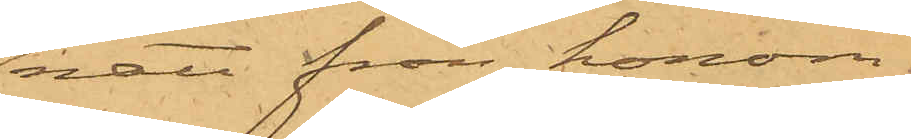natt från honom
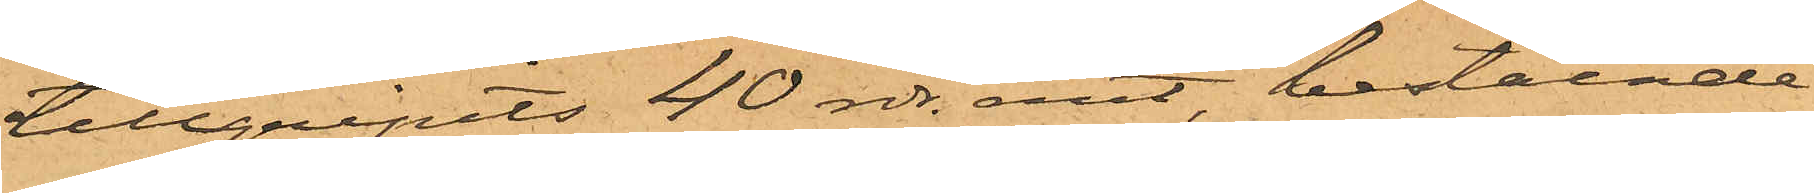tillgripits 40 rdr. rmt, bestående
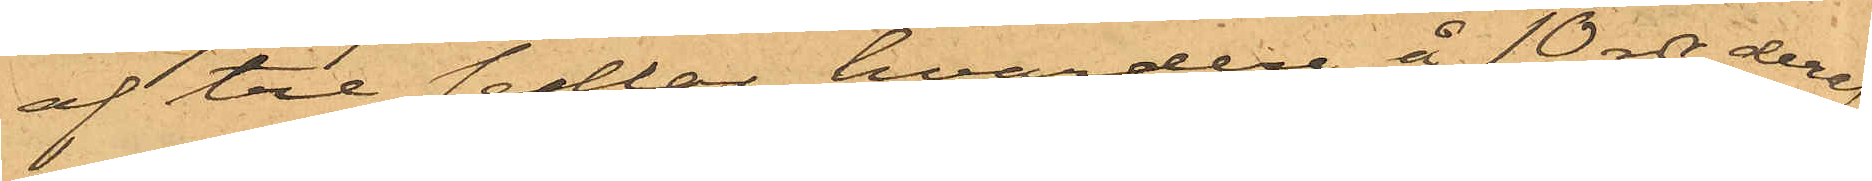af tre sedlar, hvardera å 10 rdr, deraf
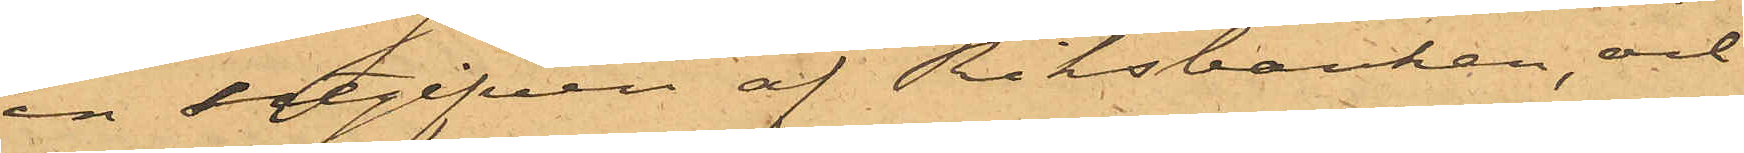en utgifven af Riksbanken, och
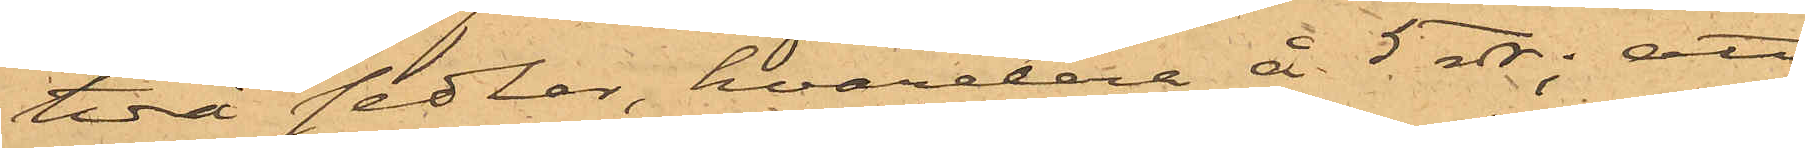två sedlar, hvardera å 5 rdr; att
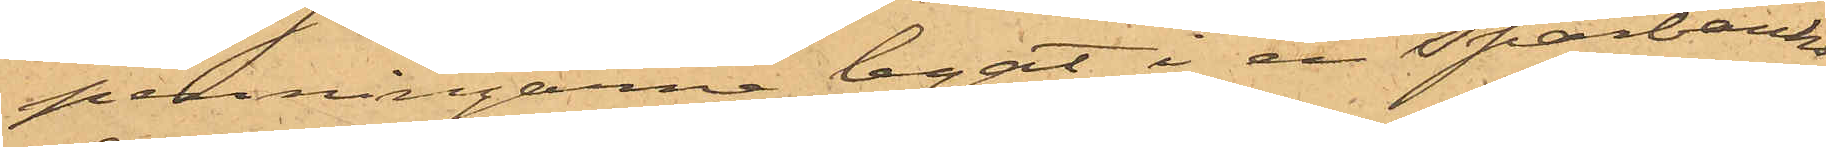penningarne legat i en Sparbanks¬
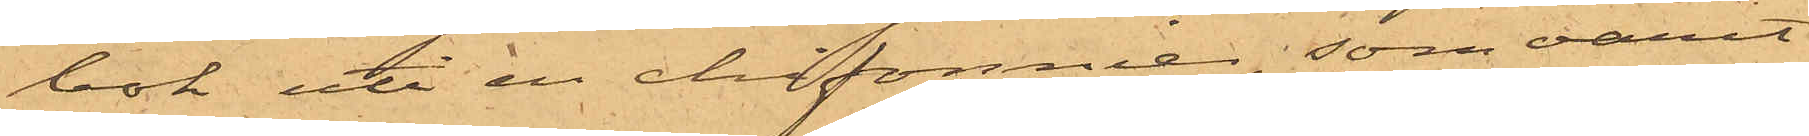bok uti en chifonnier, som varit
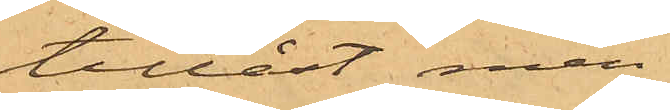tillåst men
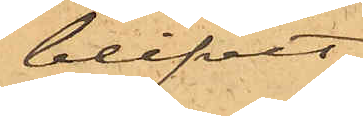blifvit
